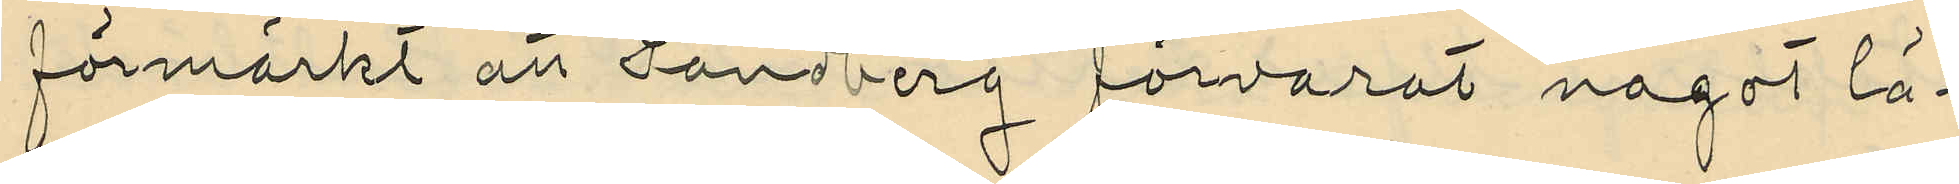förmärkt att Sandberg förvarat något lä¬
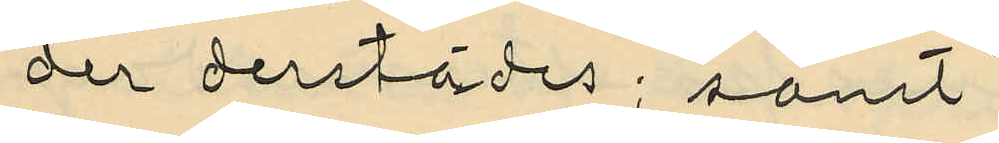der derstädes; samt
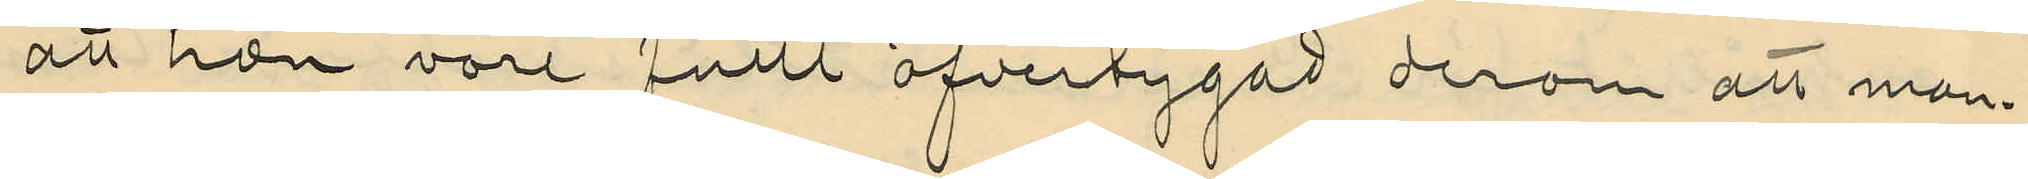att hon vore fullt öfvertygad derom att man¬
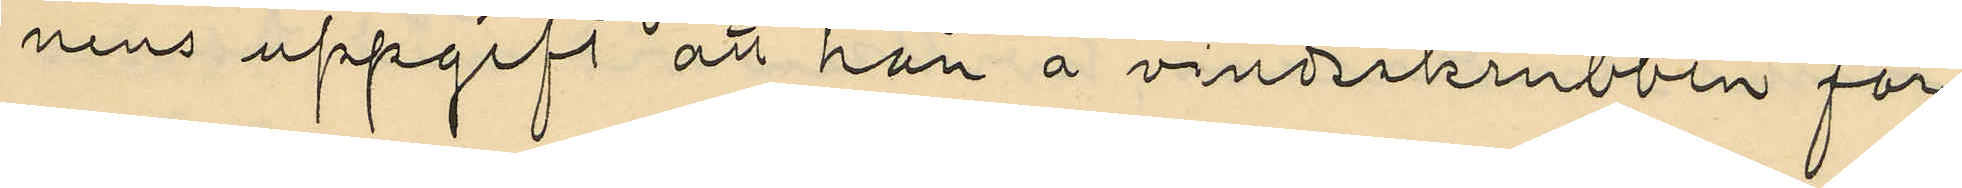nens uppgift att han å vindsskrubben för¬
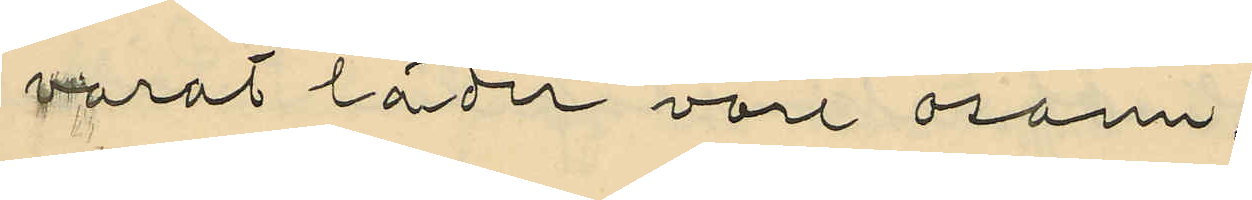varat läder vore osann.
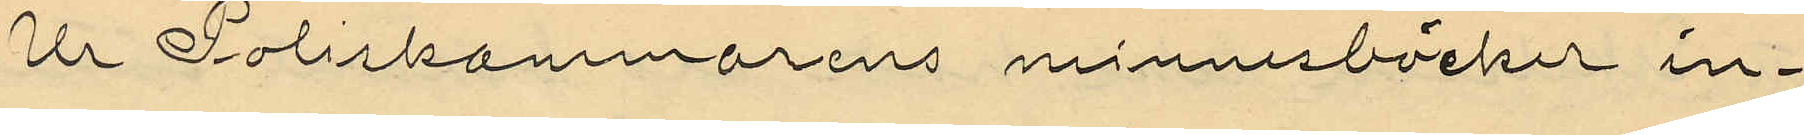Ur Poliskammarens minnesböcker in¬
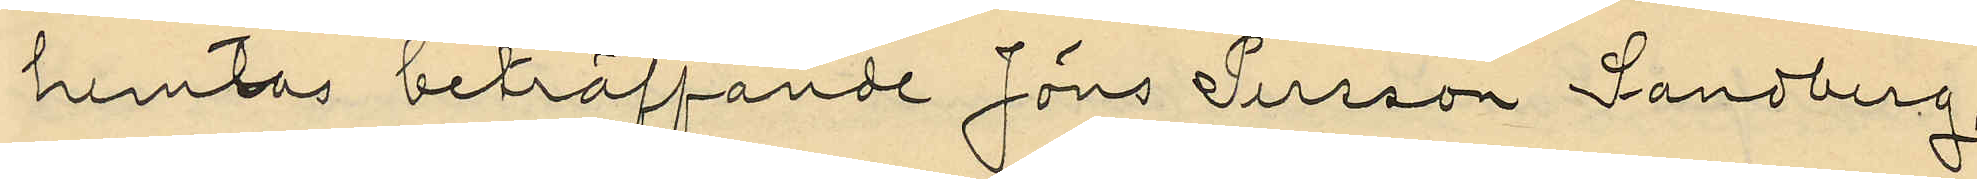hemtas beträffande Jöns Persson Sandberg
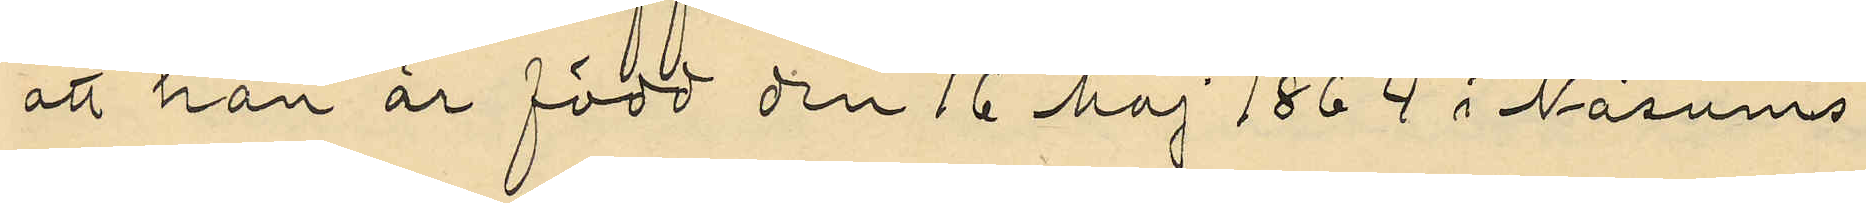att han är född den 16 Maj 1864 i Näsums
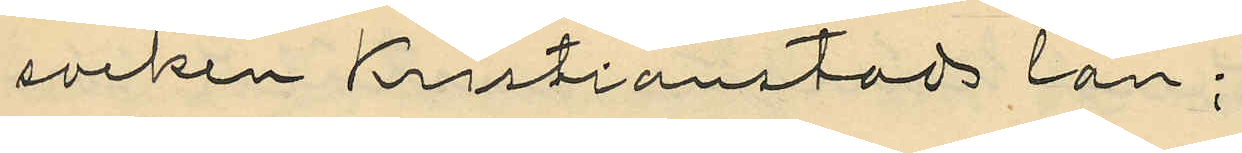socken Kristianstads län;
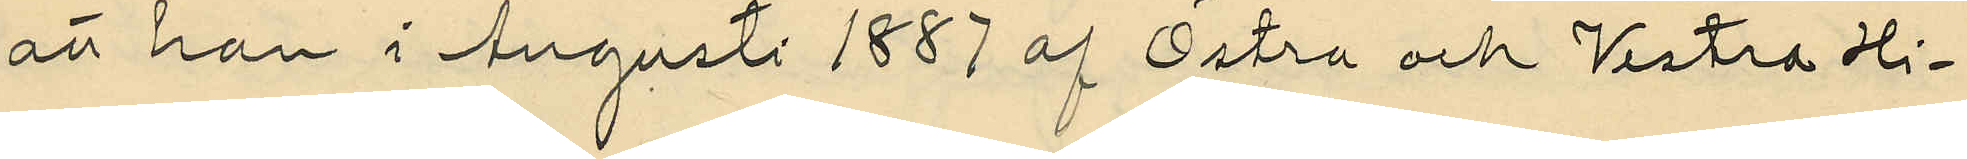att han i Augusti 1887 af Östra och Vestra Hi¬
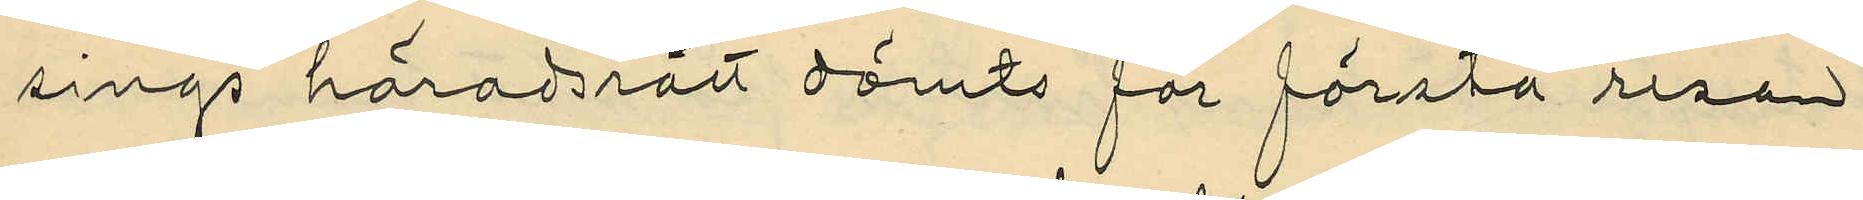sings häradsrätt dömts för första resan
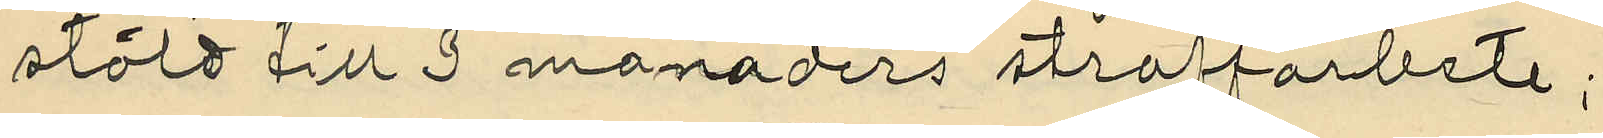stöld till 3 månaders straffarbete;
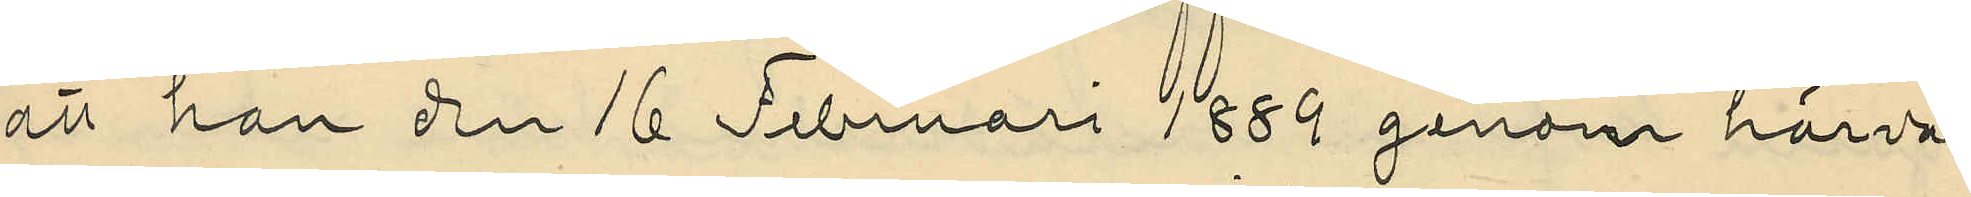att han den 16 Februari 1889 genom härva¬
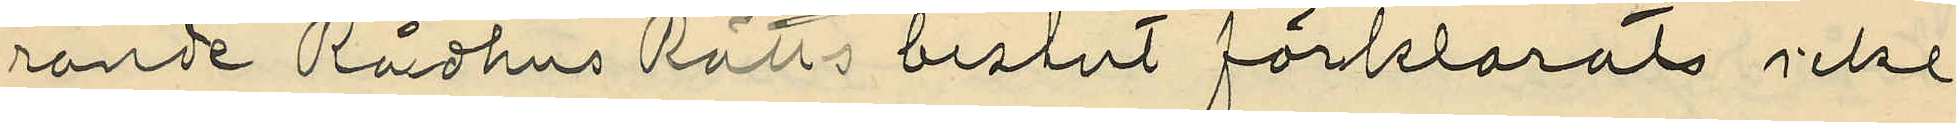rande Rådhus Rätts beslut förklarats icke
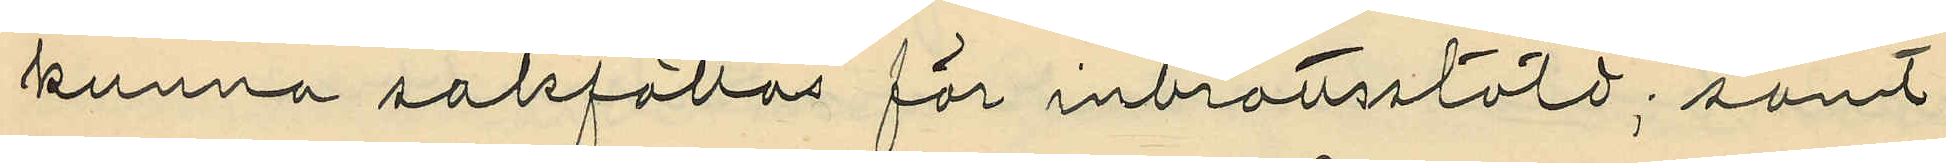kunna sakfällas för inbrottsstöld, samt
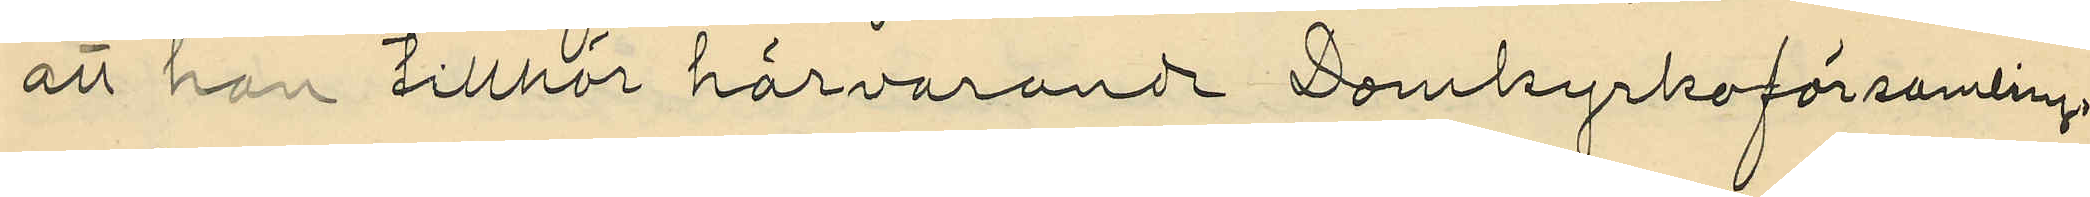att han tillhör härvarande Domkyrkoförsamling.
